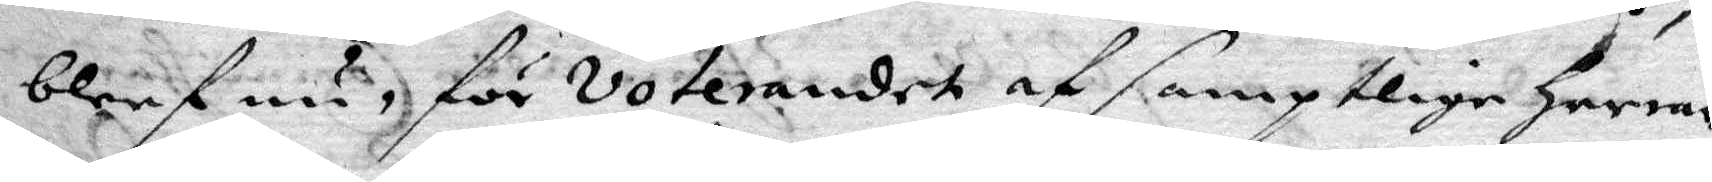bleef nu, för voterandet af samptlige herrar
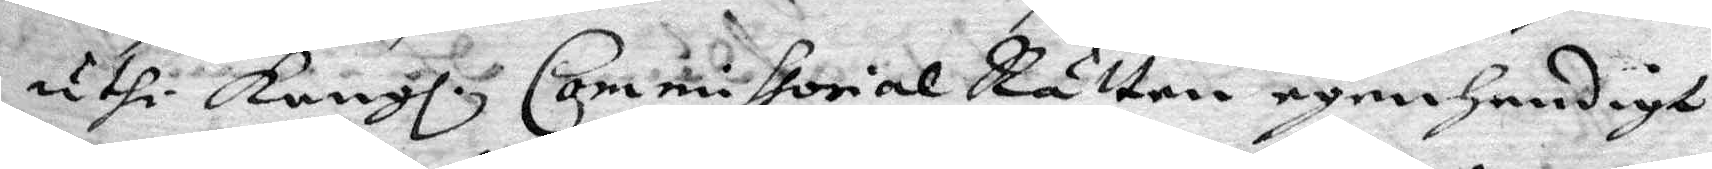uthi Kongl. Commissorial Rätten egenhendigt
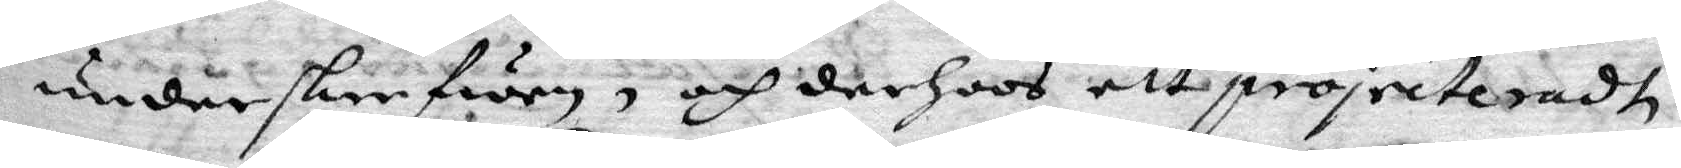underskrefwen, och derhoos att projecteradt
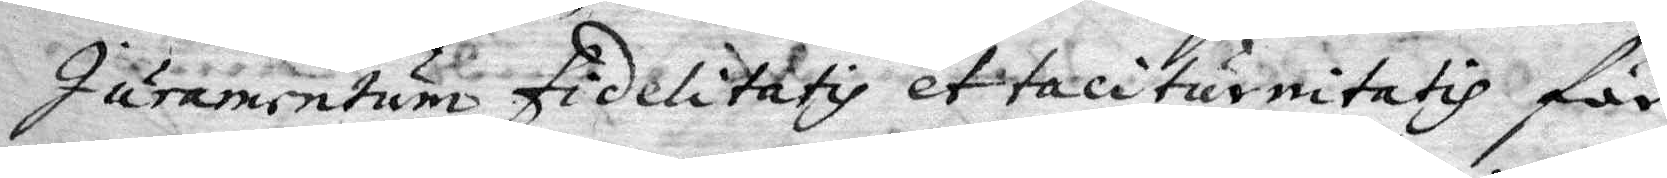Juramentum Fidelitaty et taciturnitatih för
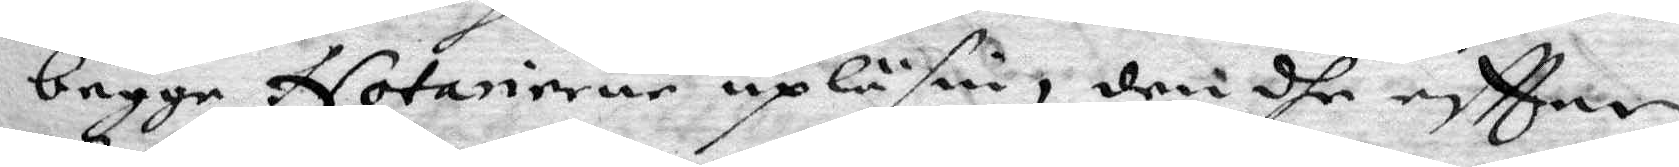begge Notarierne upläsen, den dhe eftter
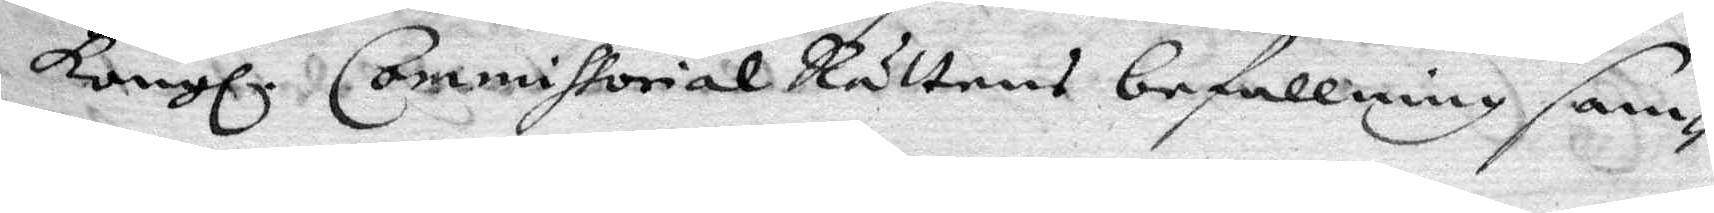Kongl. Commissorial Rättens befallning sam¬
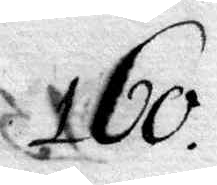160.
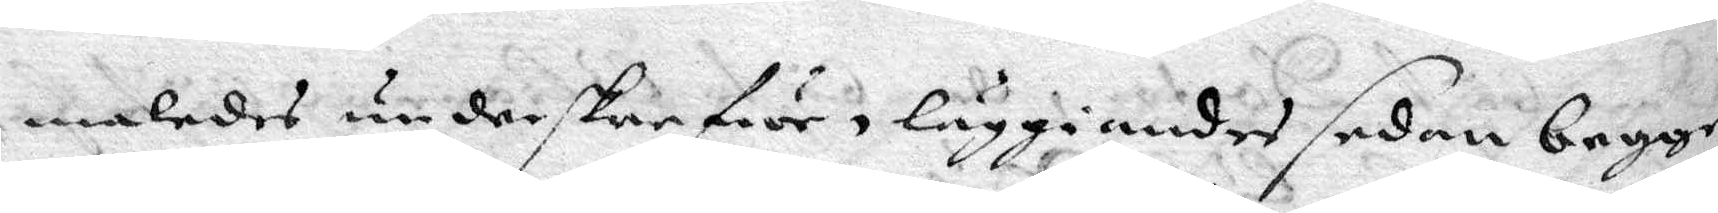maledes underskrefwe, läggiandes sedan begge
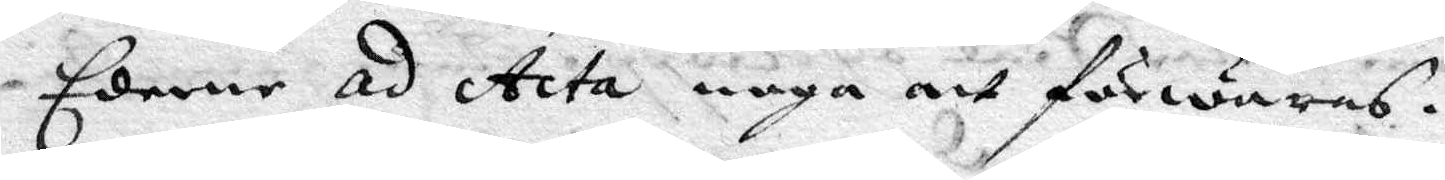Ederne ad Acta noga att förwaras.
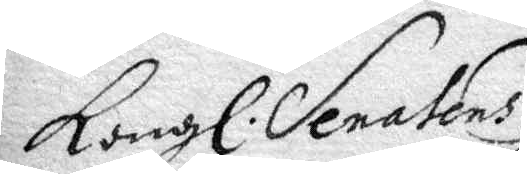Kongl. Senatens
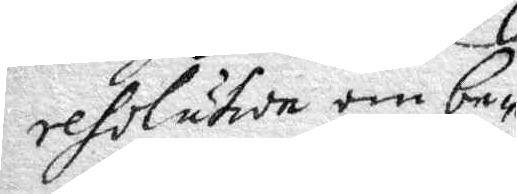resolution om be¬
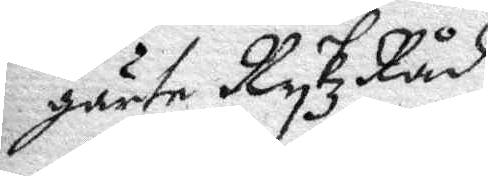gärte RykzRåd
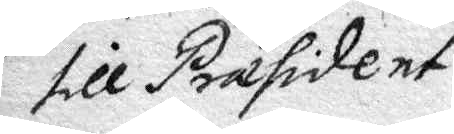till Præsident.
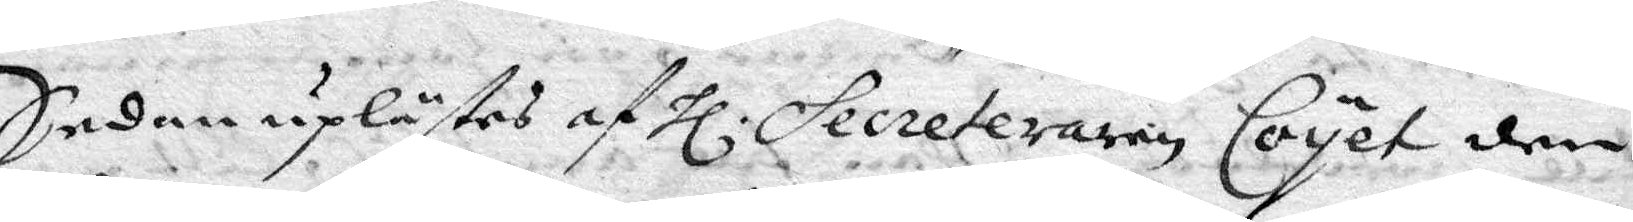sedan uplästes af Hl Secreteraren Coyet den
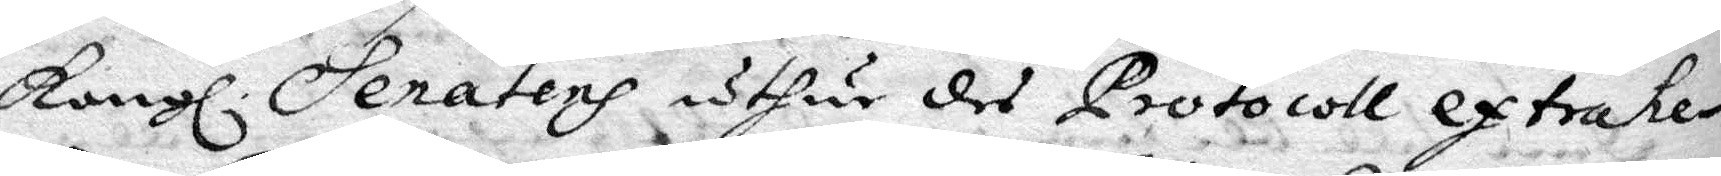Kongl. Senatens uthur des Protocoll extrahe¬
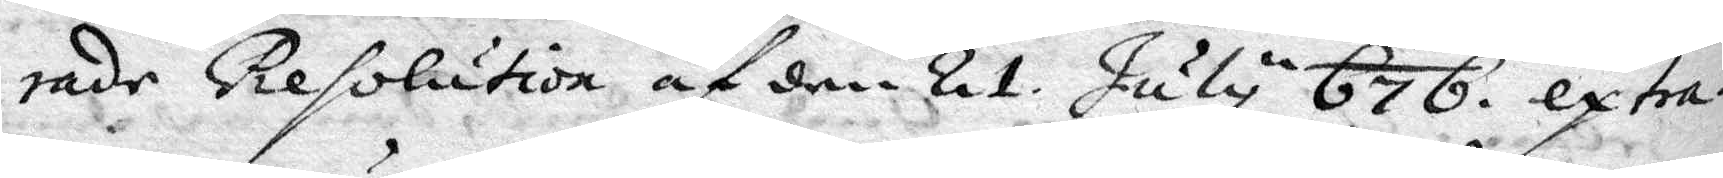rade resolution af den 21 July 676 extra¬
